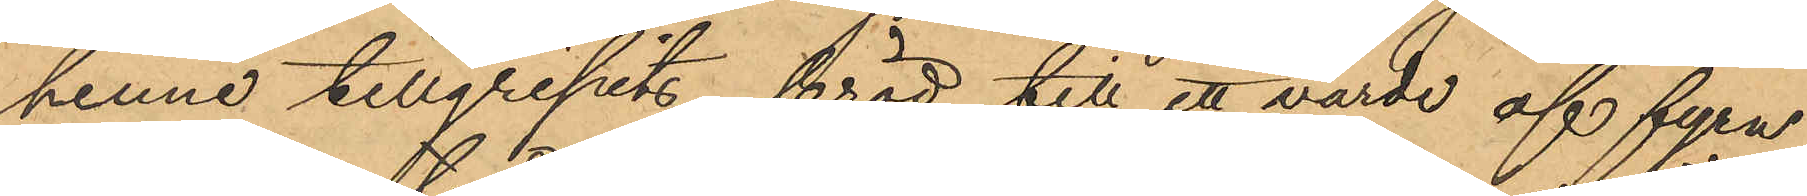henne tillgripits bröd till ett värde af fyra
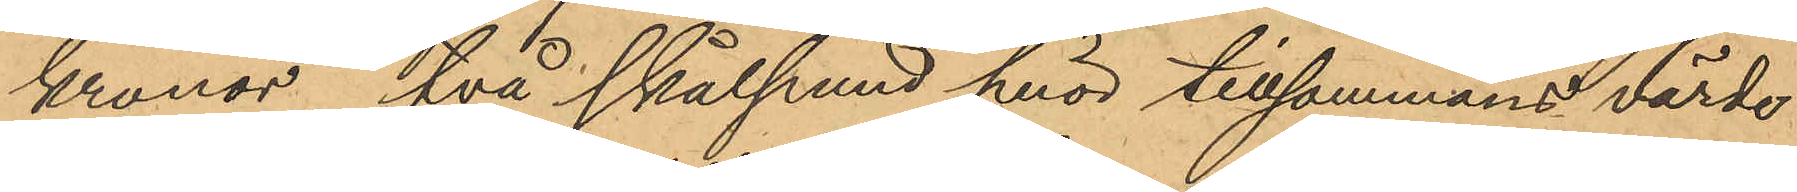kronor, två skålpund för tillsammans värde
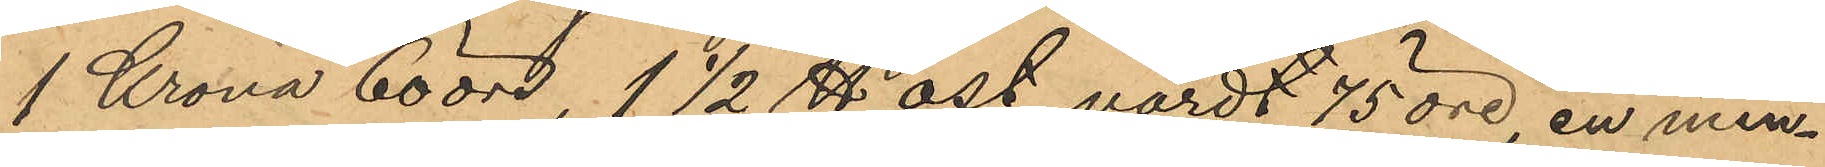1 Krona 60 öre, 1 1/2 ℔ ost, vardt 75 öre, en min¬
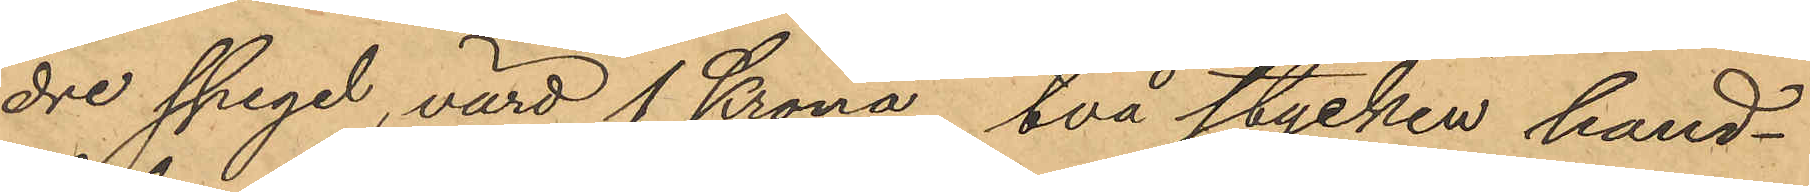dre spegel, värd 1 Krona, två stycken hand¬
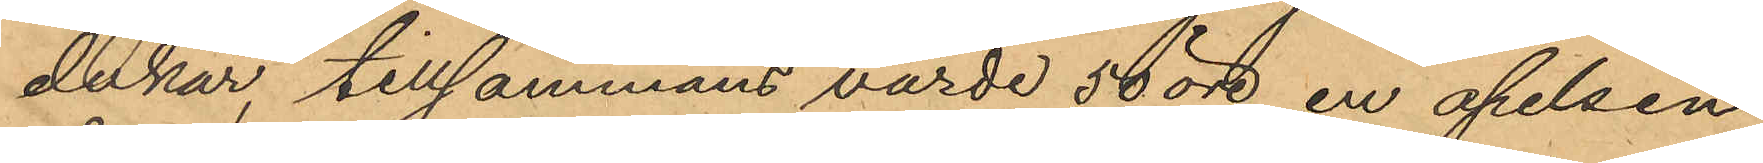dukar, tillsammans värde 50 öre, en apelsin
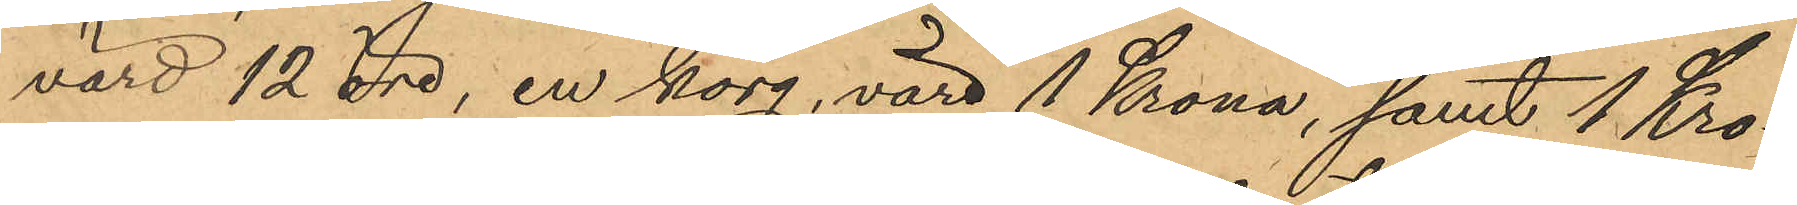värd 12 öre, en korg, värd 1 Krona, samt 1 Kro¬
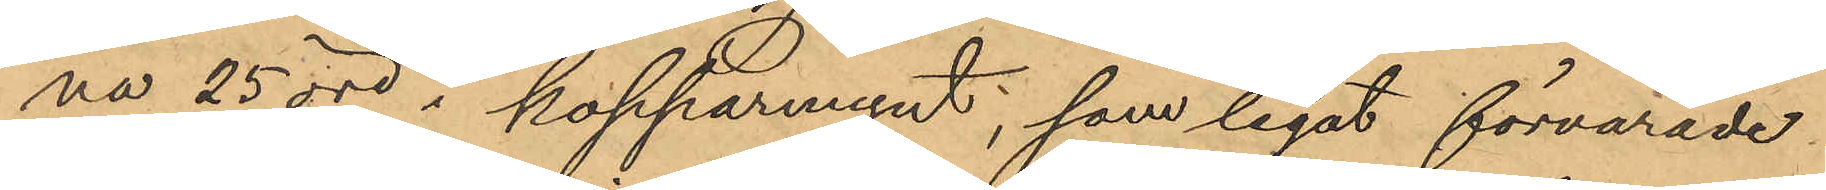na 25 öre i kopparmynt, som legat förvarade
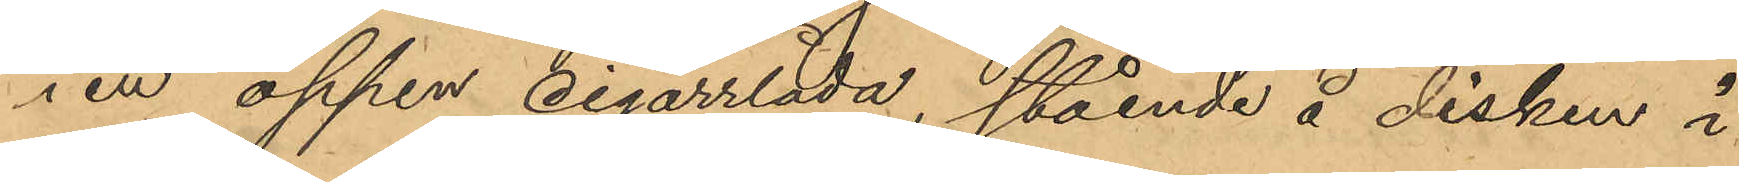i en öppen cigarrlåda, stående å disken i
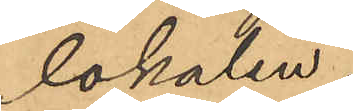lokalen.
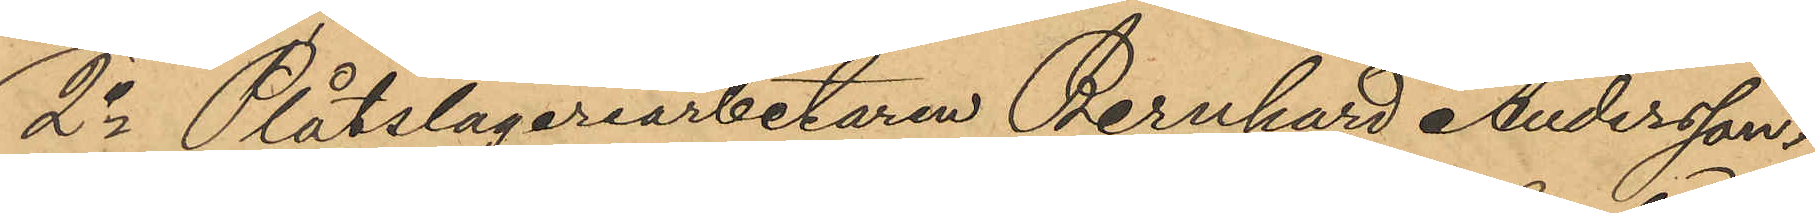2o Plåtslageriarbetaren Bernhard Andersson,
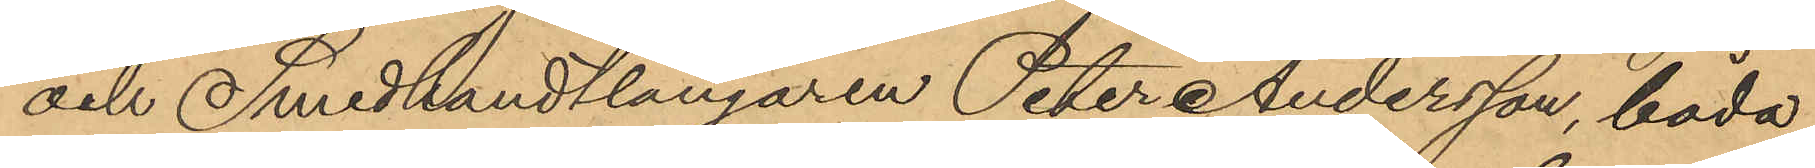och Smedhandtlangaren Peter Andersson, båda
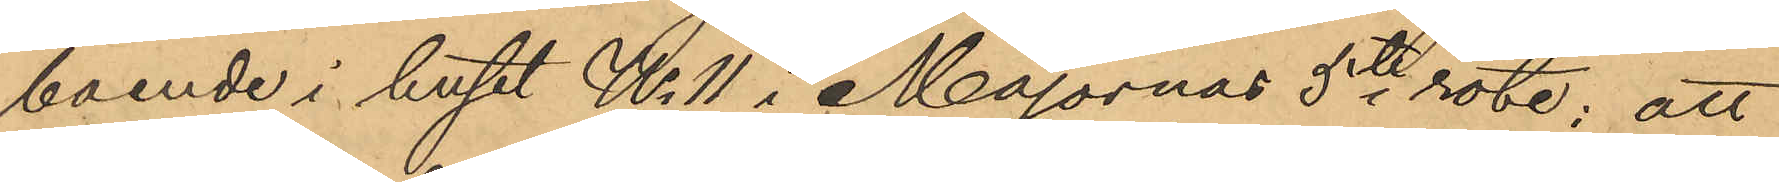boende i huset No 11 i Majornas 5te rote; att
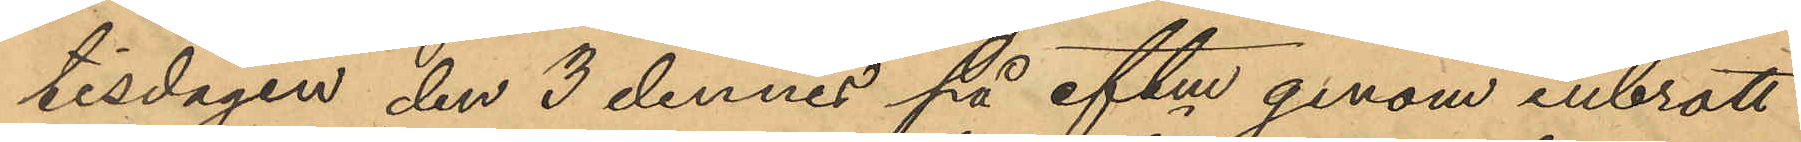tisdagen den 3 dennes på eftm genom inbrott
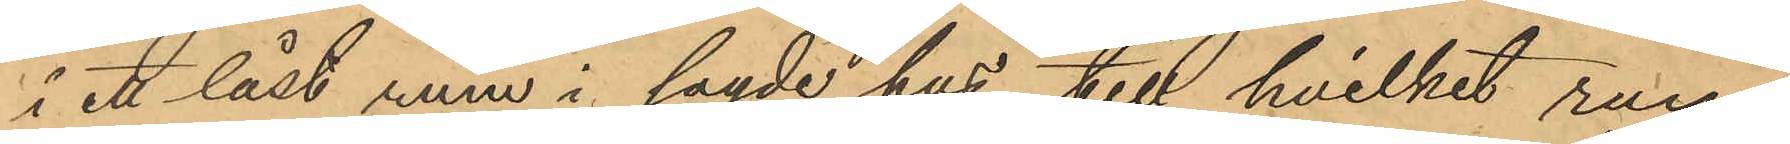i ett låst rum i sagde hus, till hvilket rum
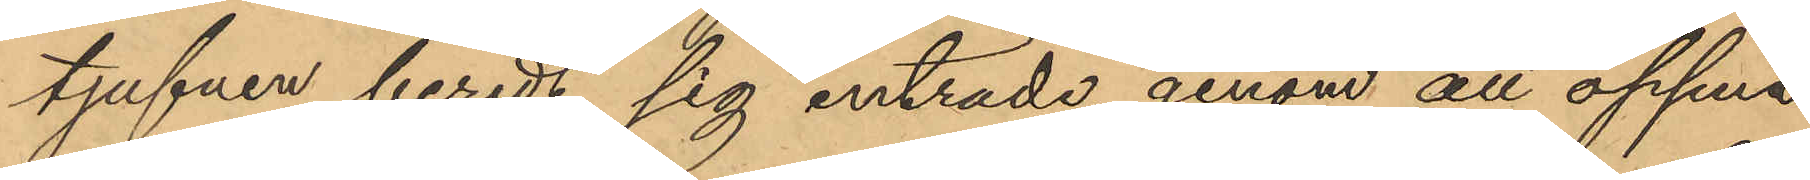tjufven beredt sig inträde genom att öppna
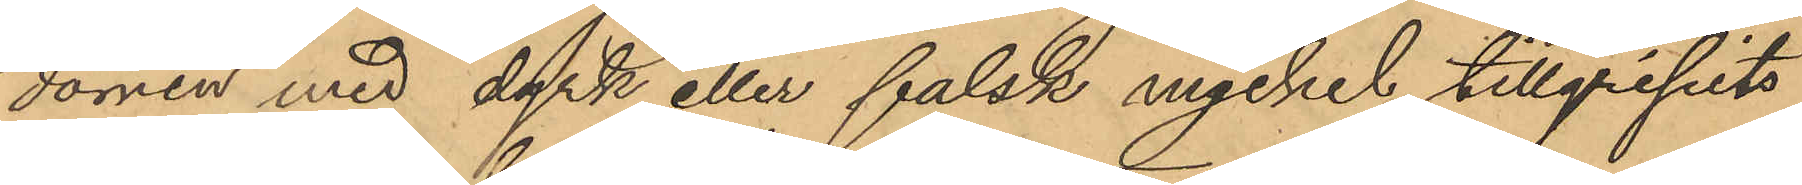dörren med dyrk eller falsk nyckel, tillgripits
